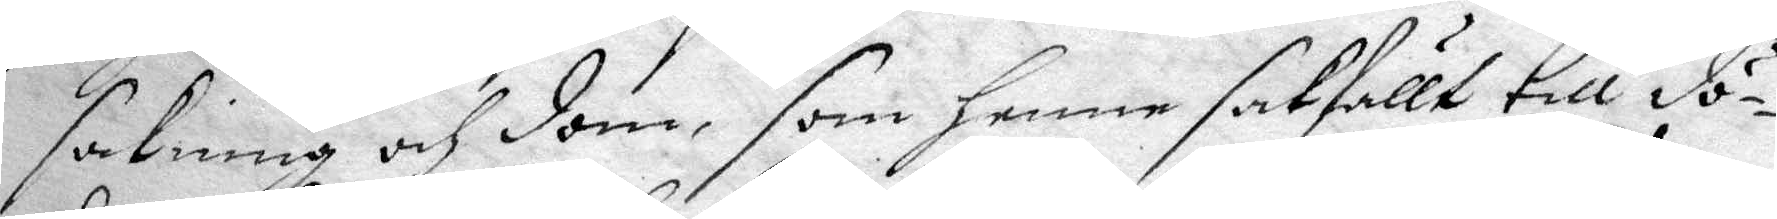sakning och dom, som henne sakfällt till dö¬
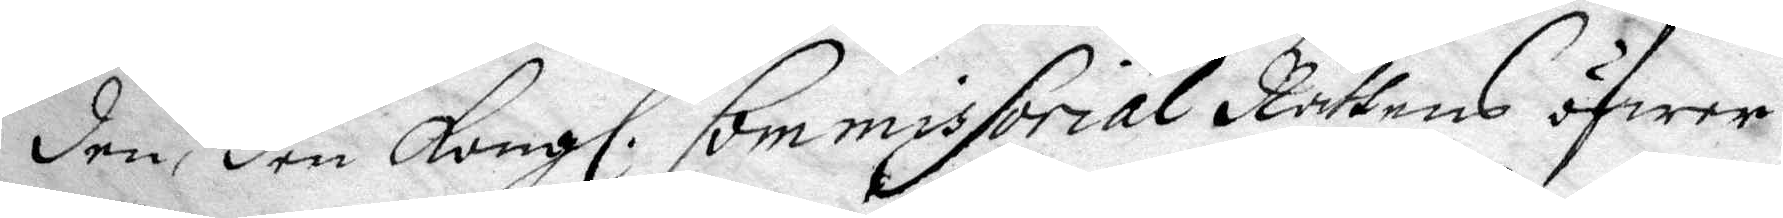den, den Kongl. Commissorial Rättens öfwer
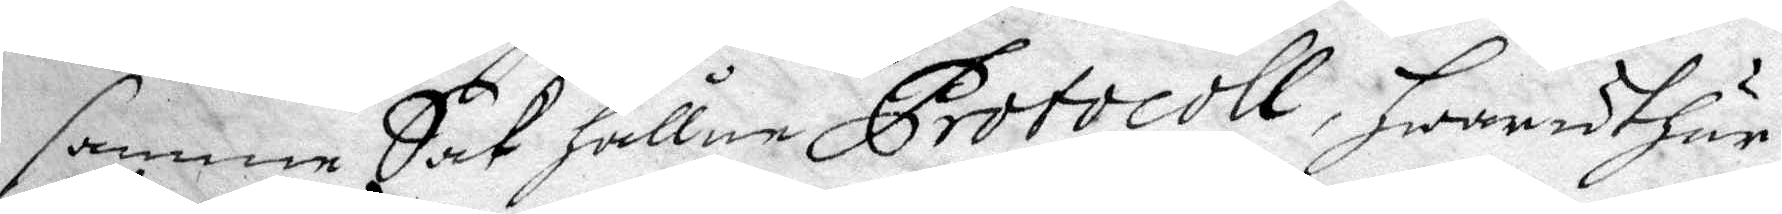samme Sak hållne Protocoll, hwaruthan
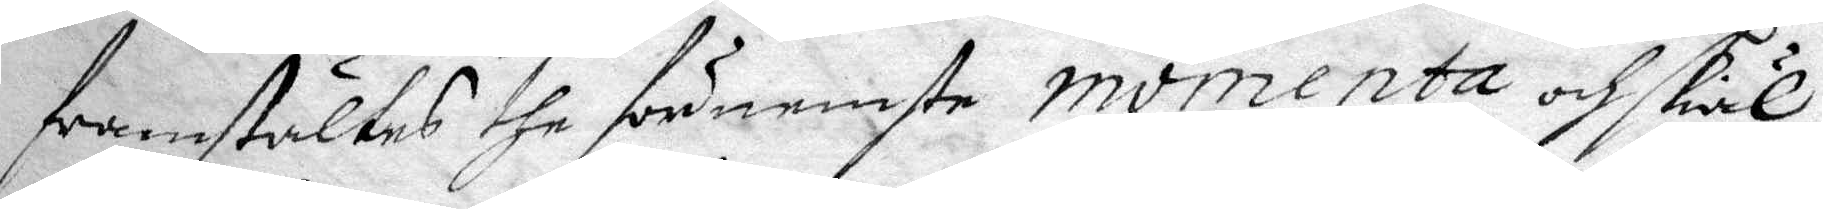framstältes the förnemste momenta och skiäl
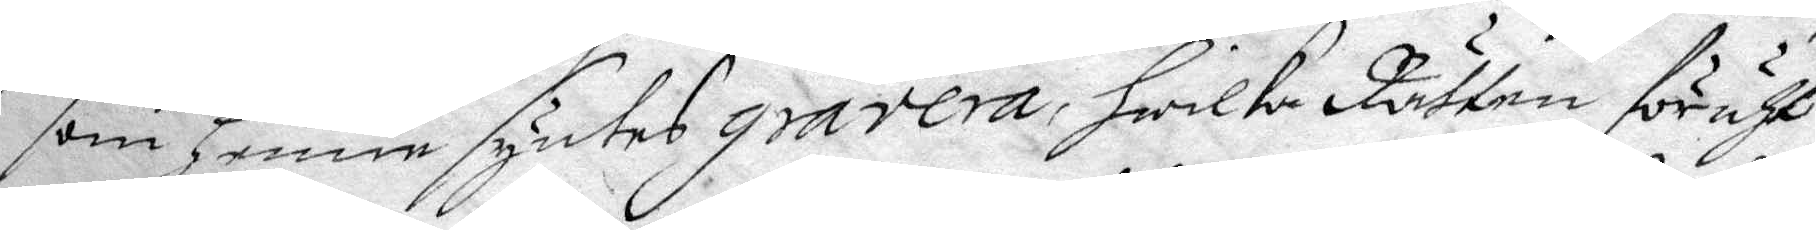som henne syntes gravera, hwilka Rätten föruth
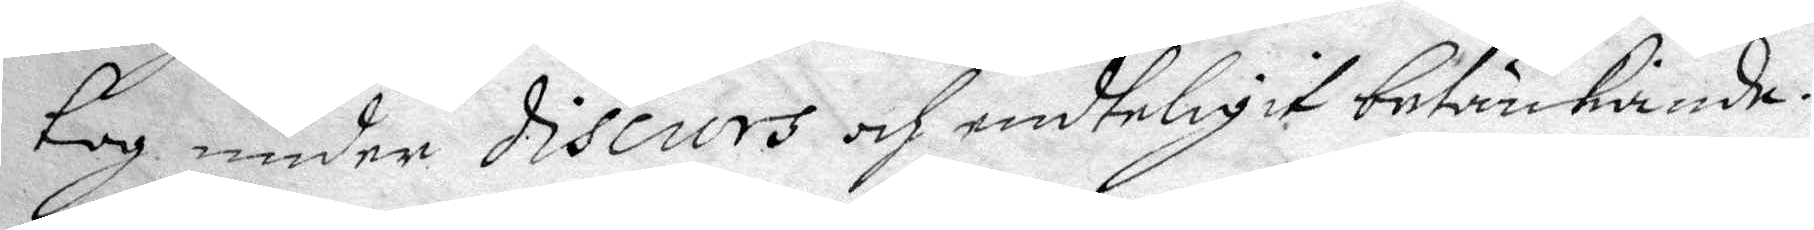tog under discurs och endteligit betänkiande.
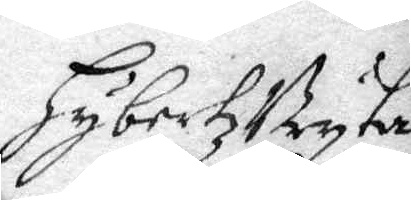hybertz bryta
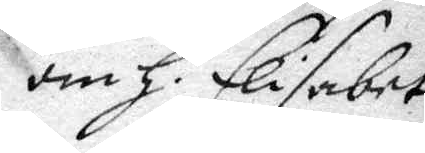om h. Elisabet
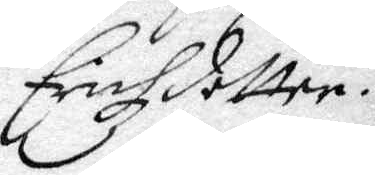Erichzdotter.
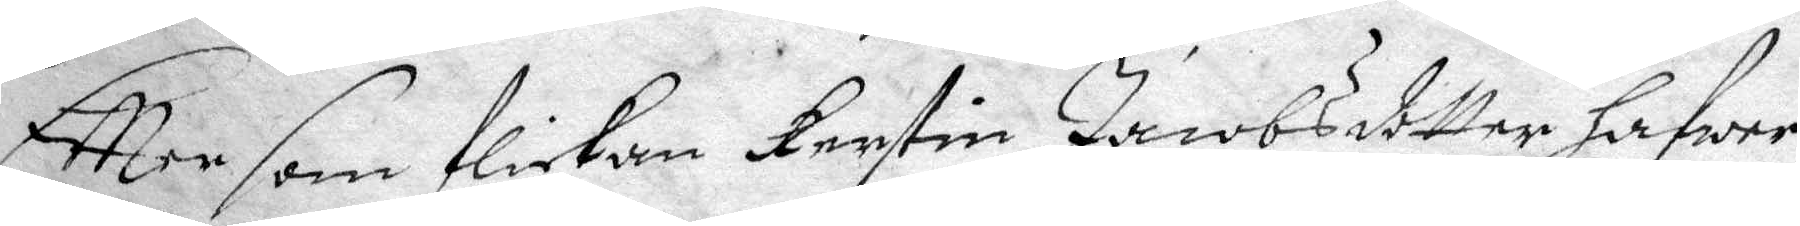Eftter som flickan Kerstin Jancobsdotter hafwer
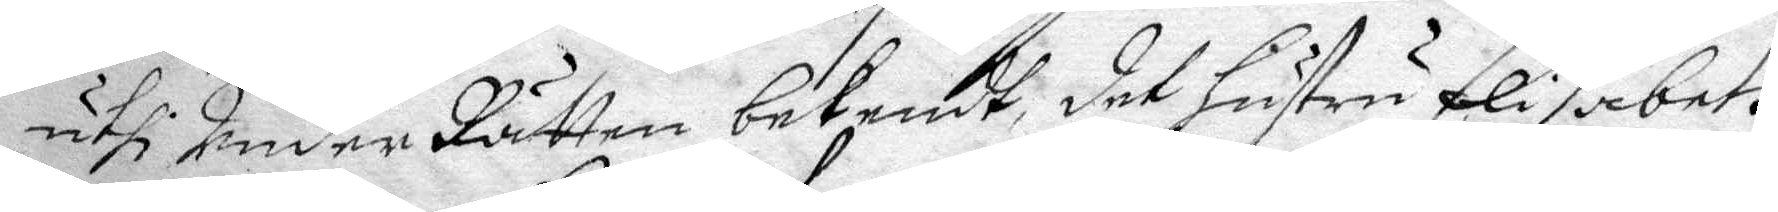uthi UnderRätten bekendt det hustru Elisabeth
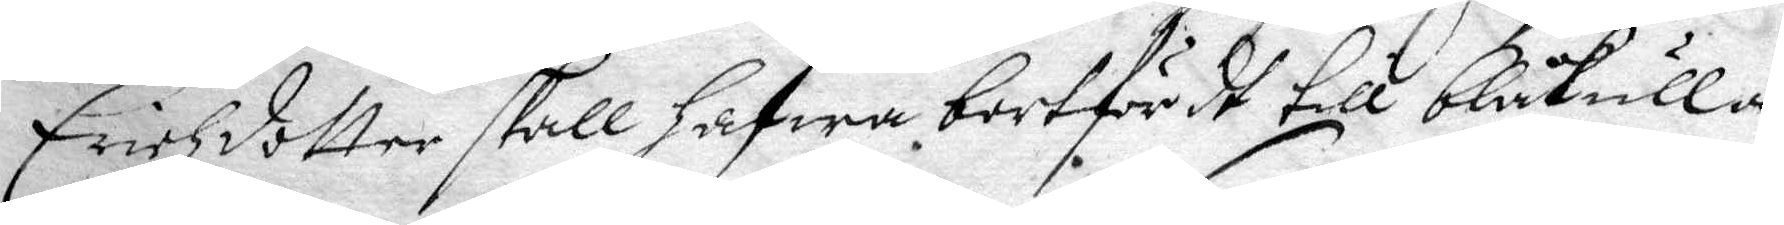Erichzdotter skall gafwa bortfördt till blåkulla
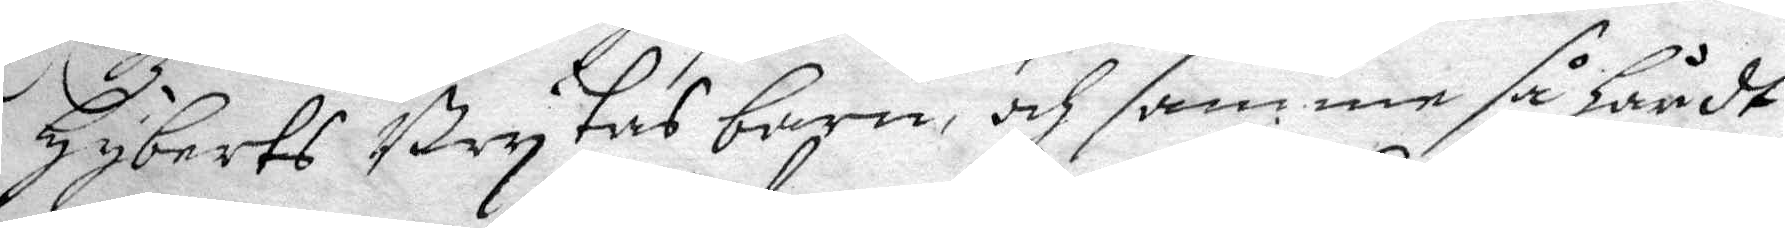hyberts Brytas barn, och samme så hårdt
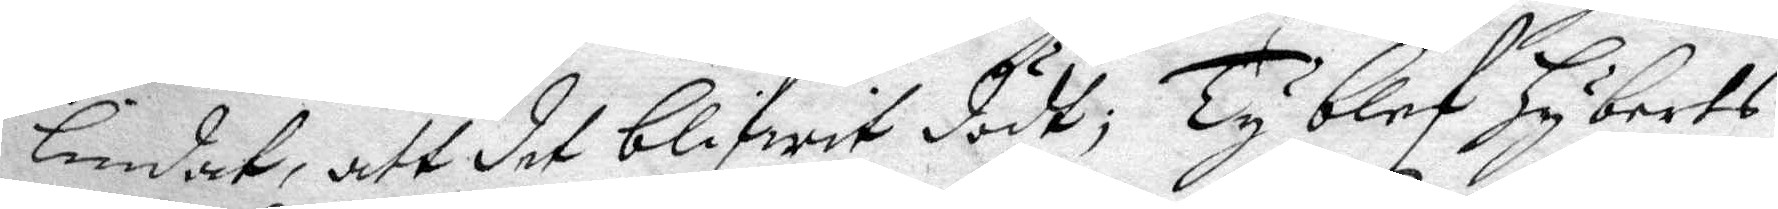lindat, att det blifwit dött; Ty blef hyberts
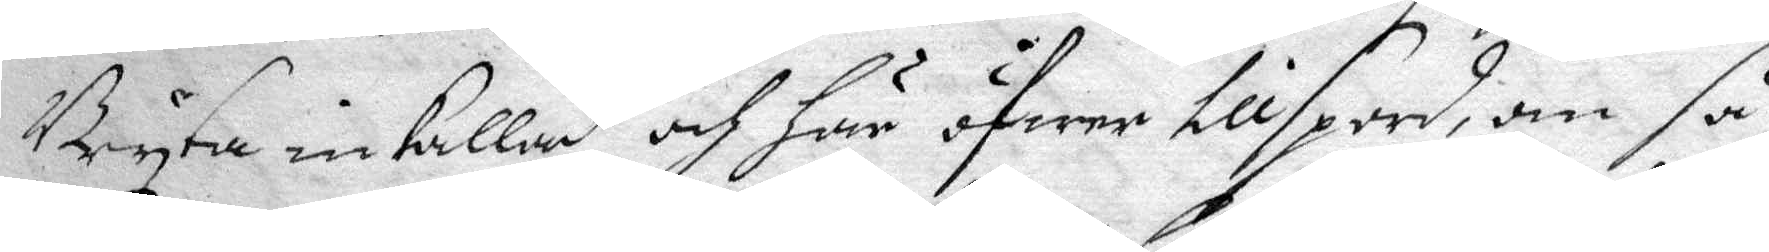Bryta inkallad och öfwer tillspord, om så
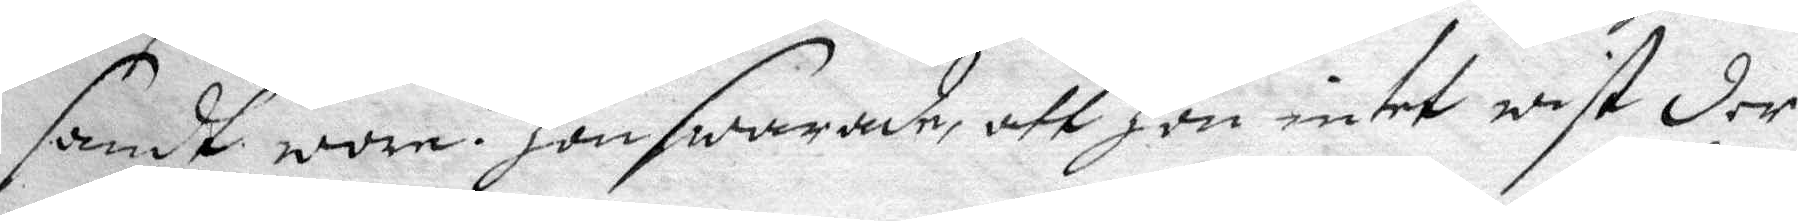sandt wore? hon swarade, att hon intet wist der
